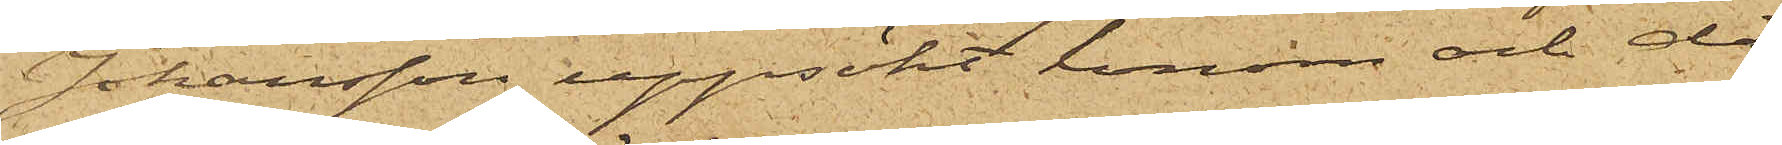Johansson uppsökt honom och då
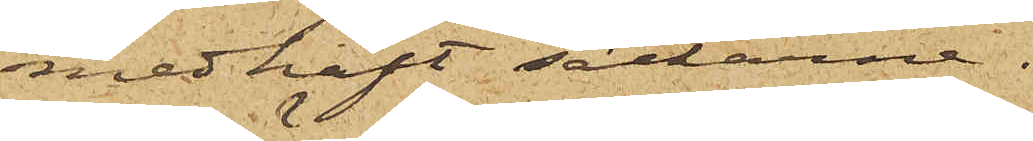medhaft säckarne.
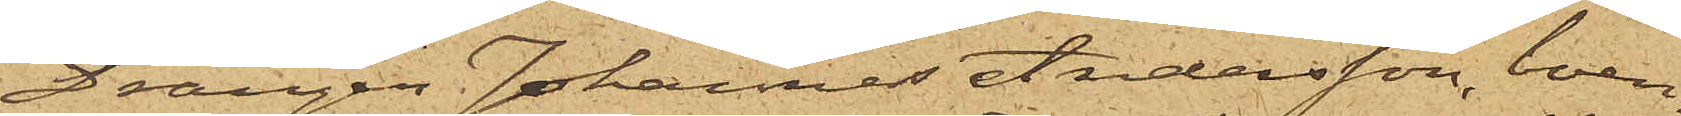Drängen Johannes Andersson, boen¬
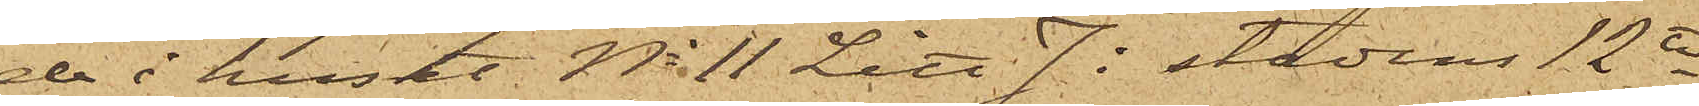de i huset No 11 Litt. J. i stadens 12te
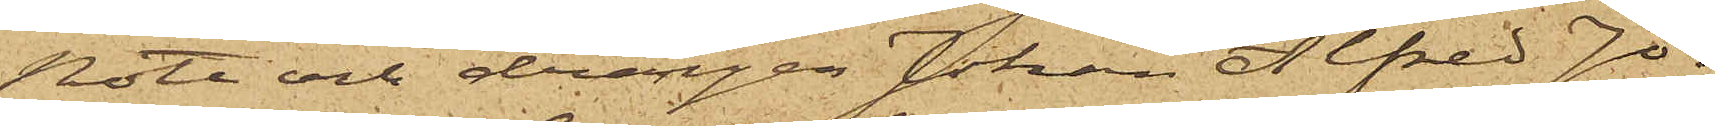Rote och drängen Johan Alfred Jo¬
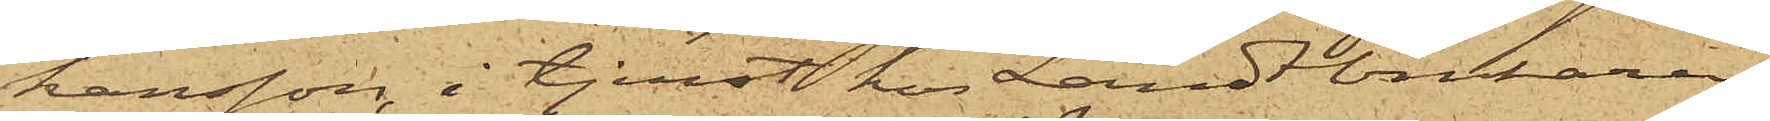hansson, i tjenst hos Landtbrukaren
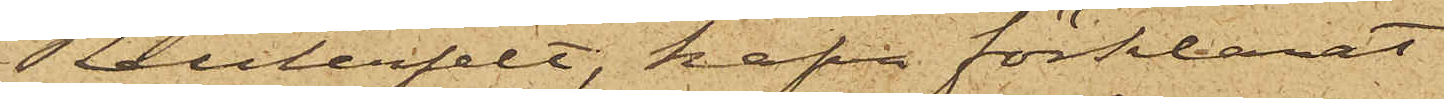Reuterfelt, hafva förklarat
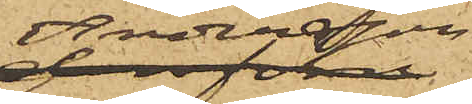Andersson
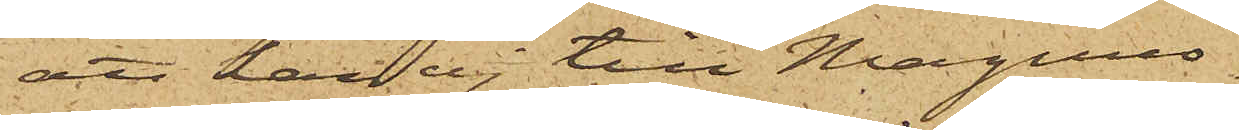att han ej till Magnus¬
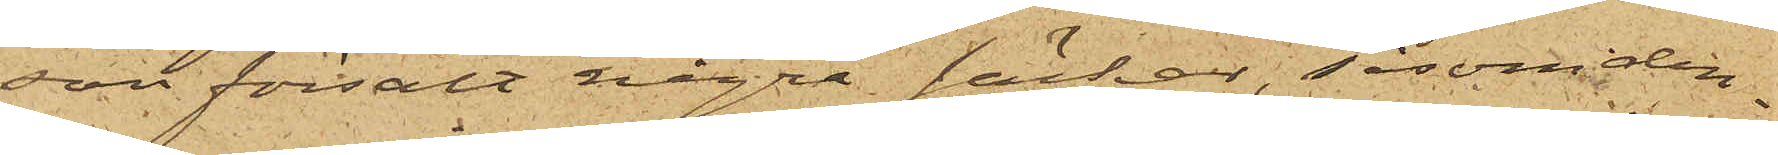son försålt några säckar, såsom den¬
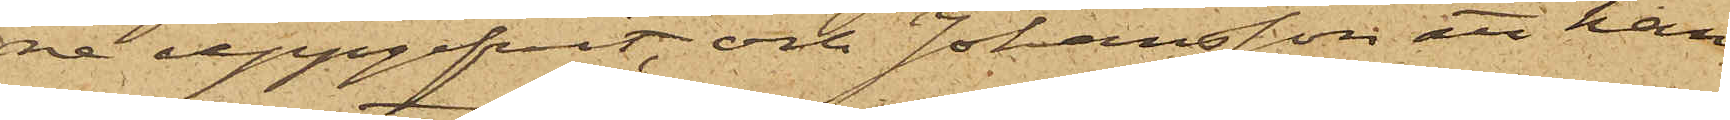ne uppgifvit, och Johansson att han
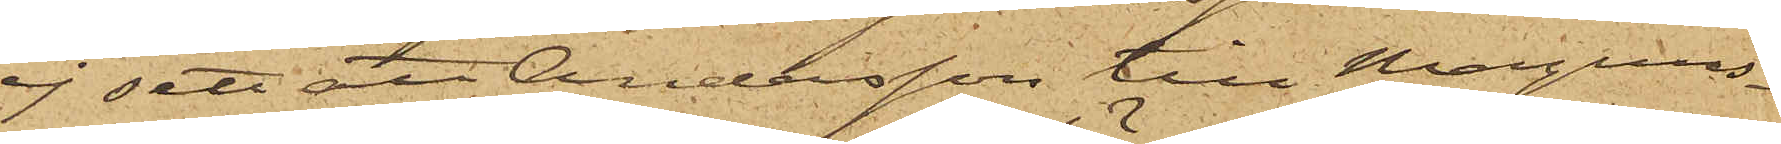ej sett att Andersson till Magnus¬
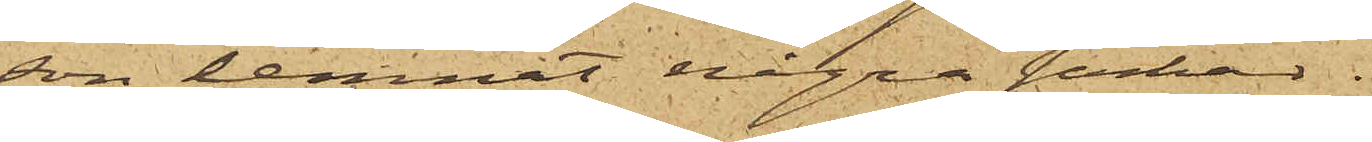son lemnat några säckar.
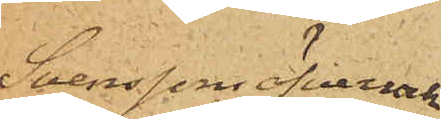Svenssons öfverrock
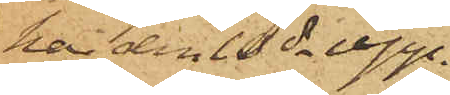har den 10 ds upp¬
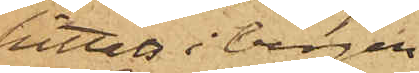hittats i bergen
